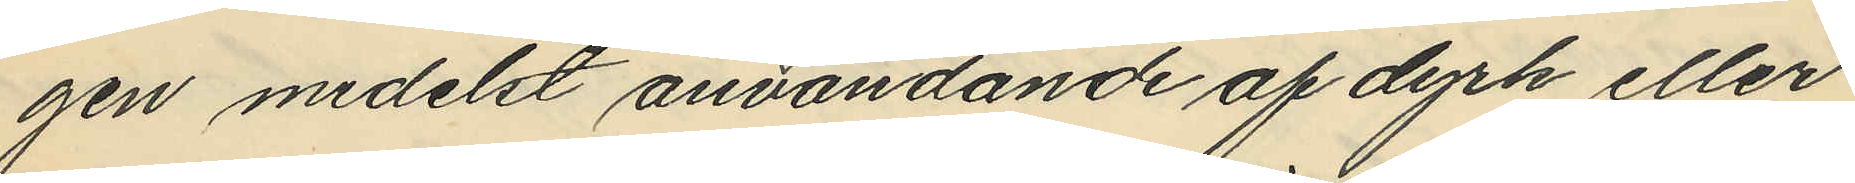gen medelst användande af dyrk eller
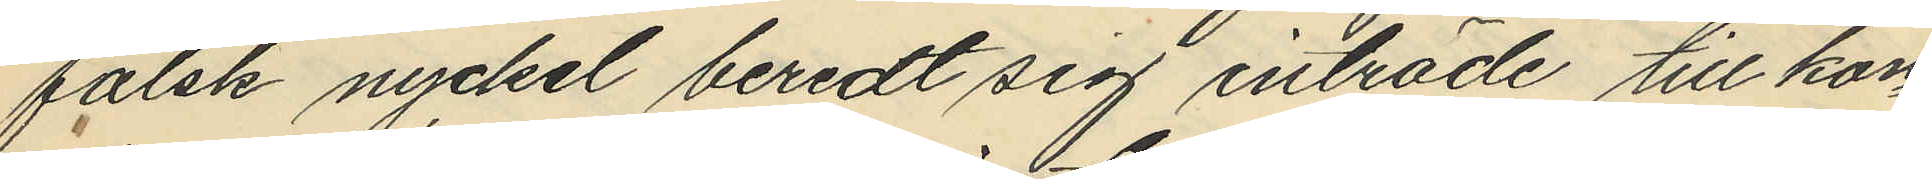falsk nyckel beredt sig inträde till kon¬
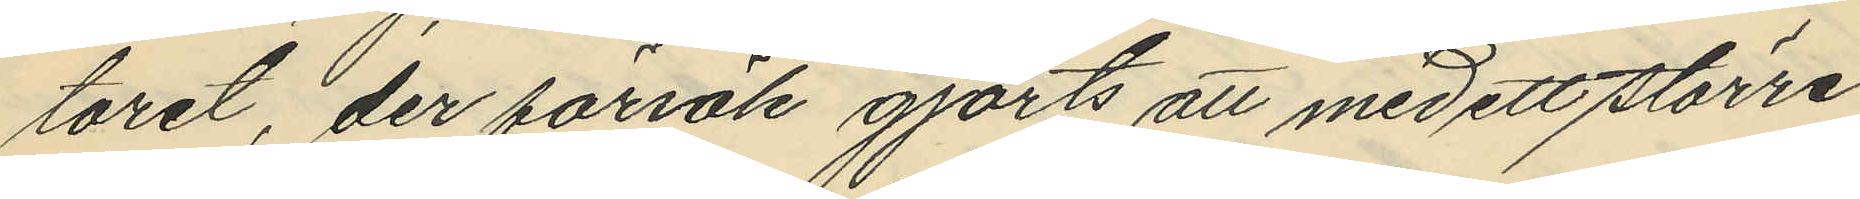toret; der försök gjorts att med ett större
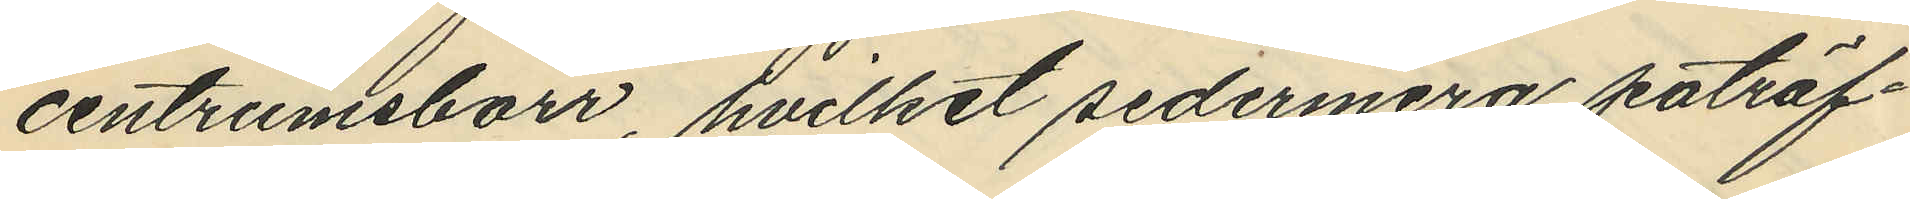centrumsborr, hvilket sedermera påträf¬
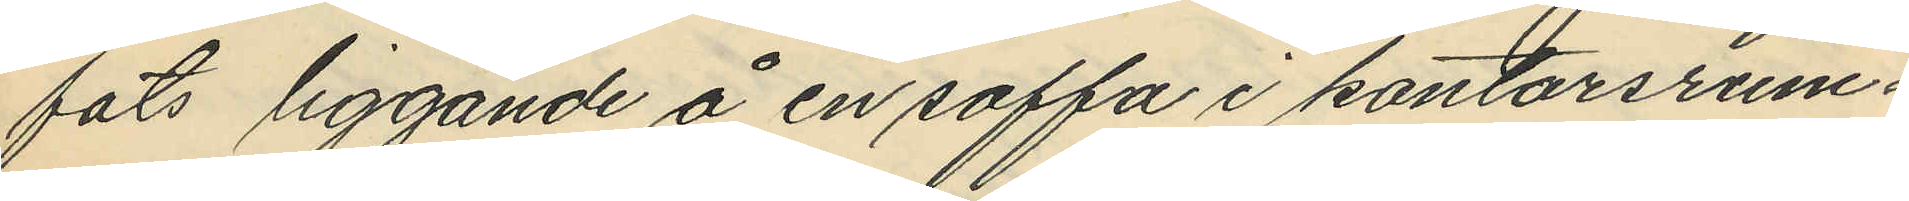fats liggande å en soffa i kontorsrum¬
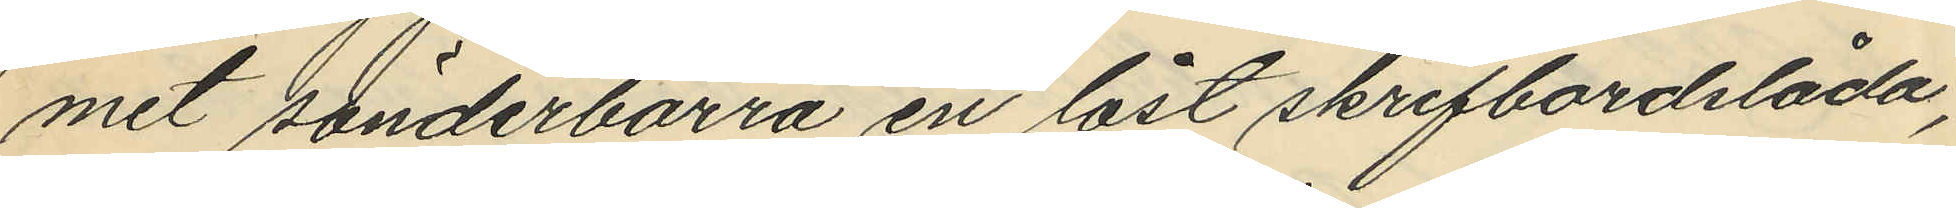met sönderborra en låst skrifbordslåda,
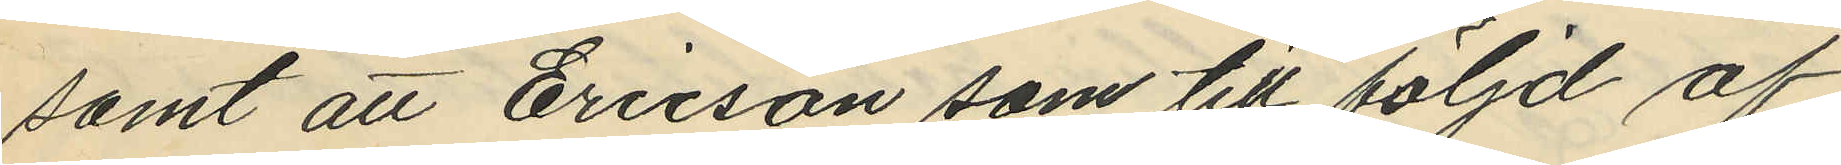samt att Ericson som till följd af
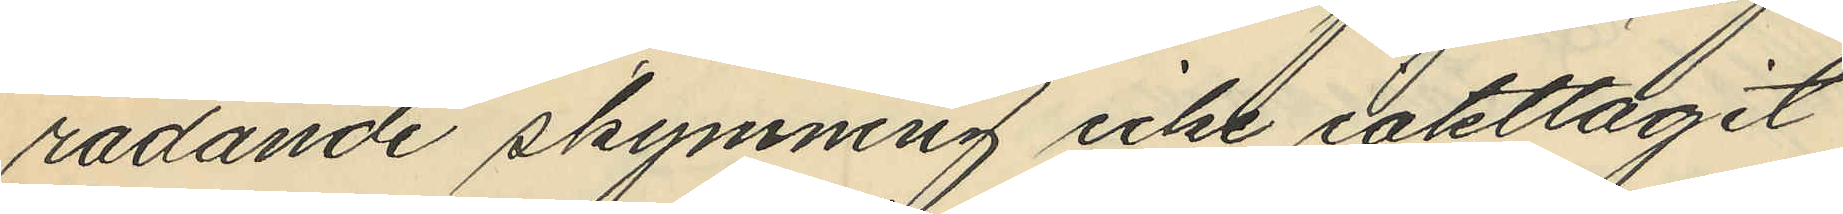rådande skymning icke iakttagit
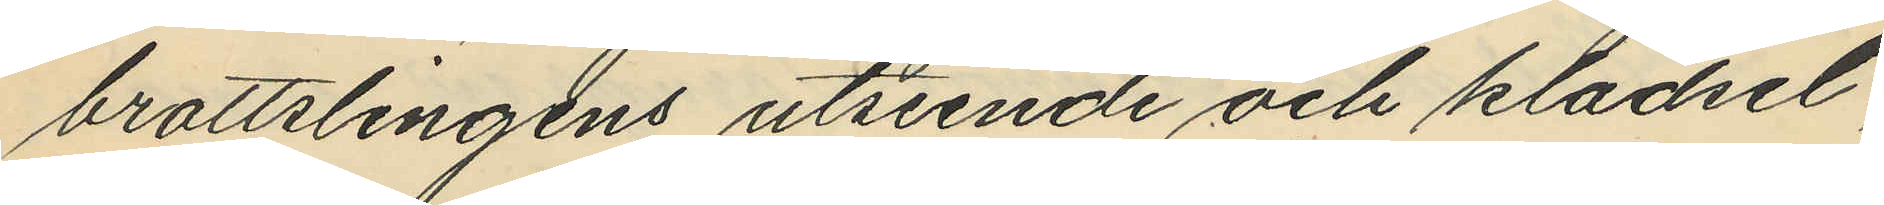brottslingens utseende och klädsel,
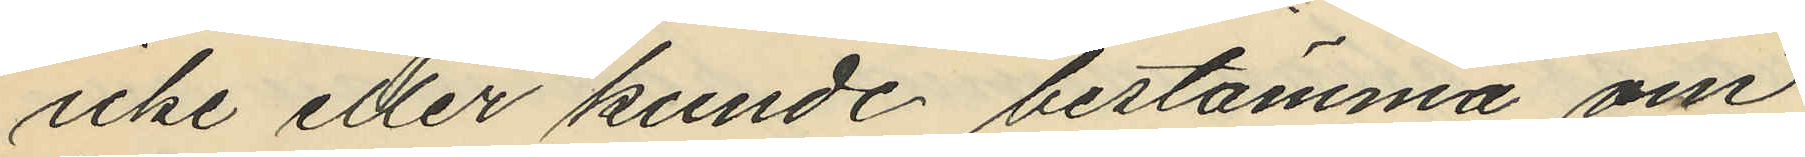icke eller kunde bestämma om
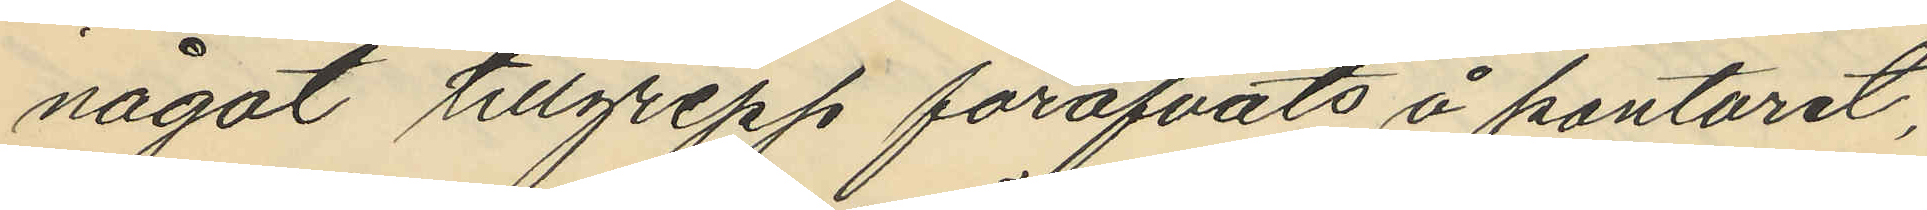något tillgrepp föröfvats å kontoret,
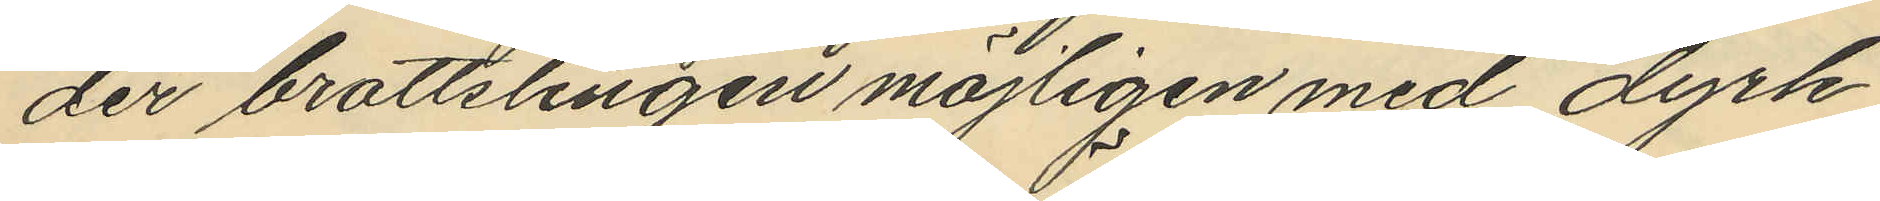der brottslingen möjligen med dyrk
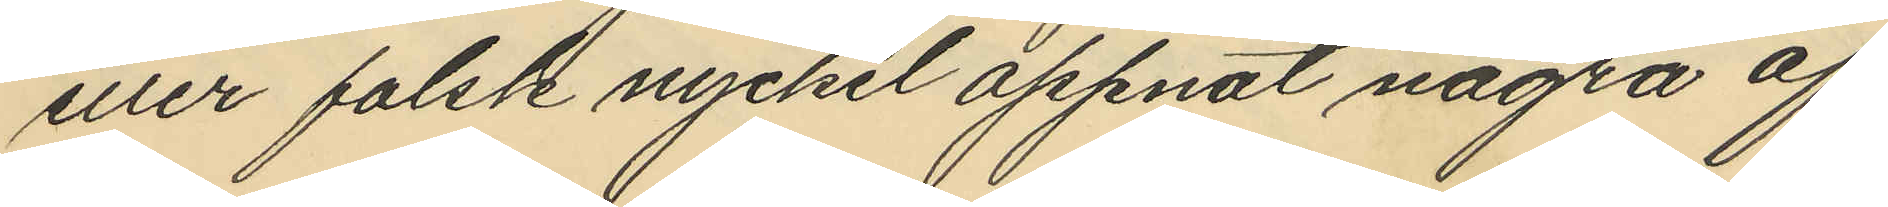eller falsk nyckel öppnat några af
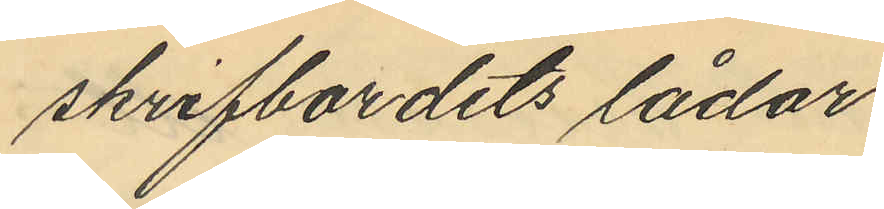skrifbordets lådor.
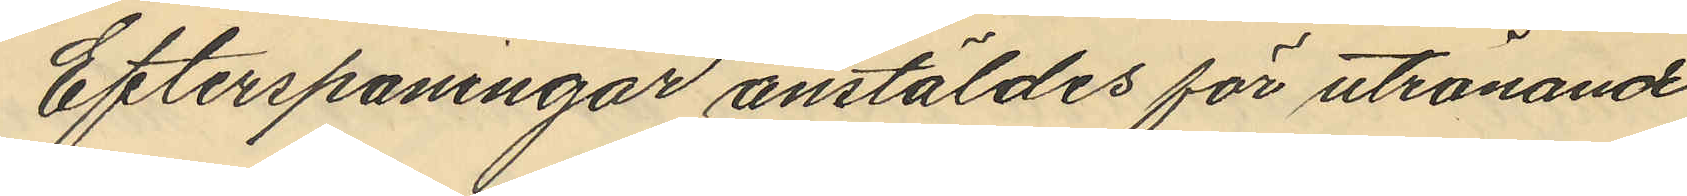Efterspaningar anstäldes för utrönande
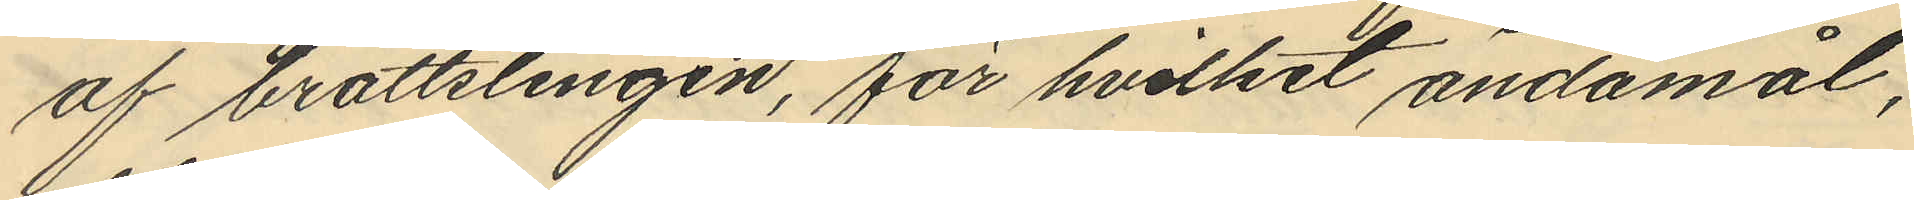af brottslingen, för hvilket ändamål,
